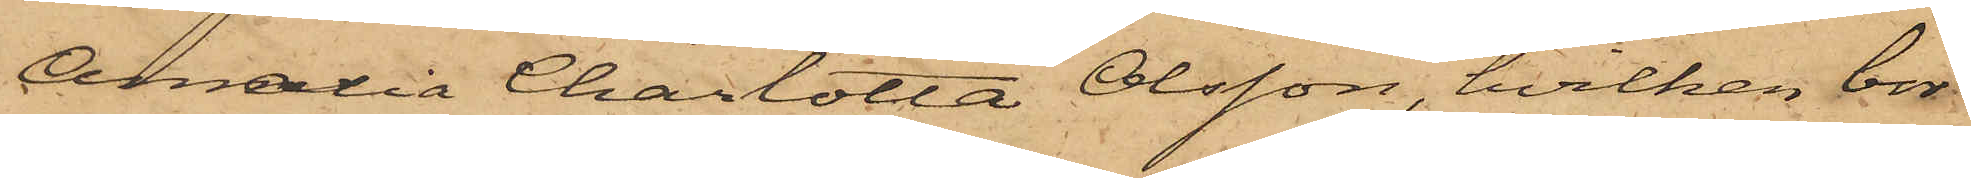Amalia Charlotta Olsson, hvilken bor
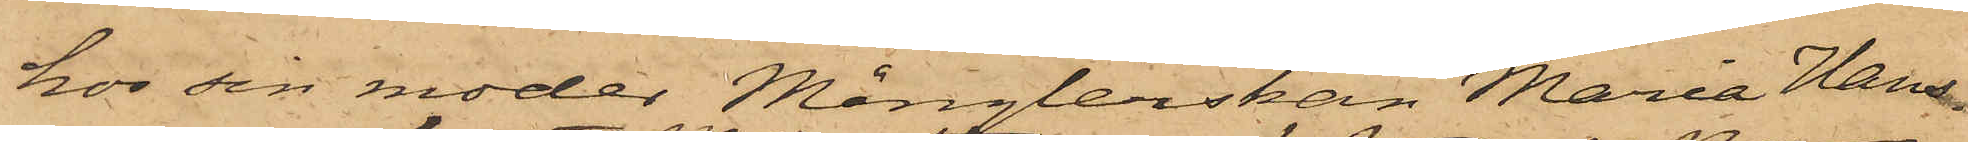hos sin moder Månglerskan Maria Hans¬
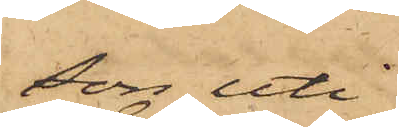son uti
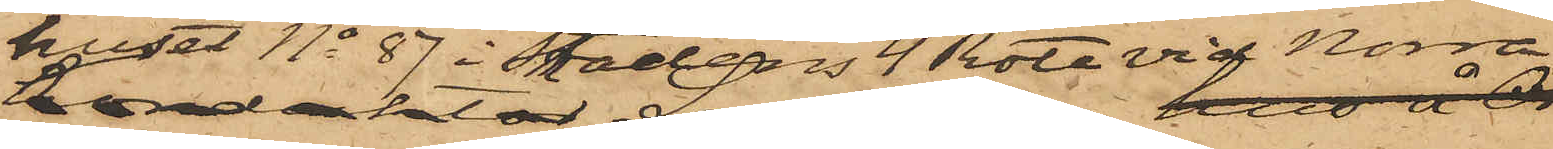huset No 87 i Stadens 4 Rote vid Norra
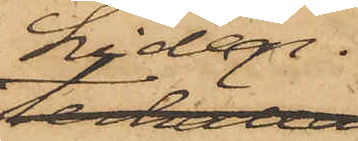Liden.
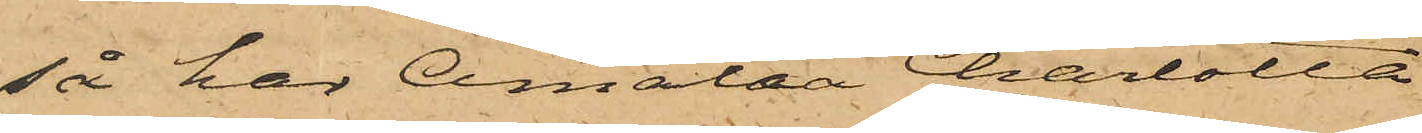så har Amalia Charlotta
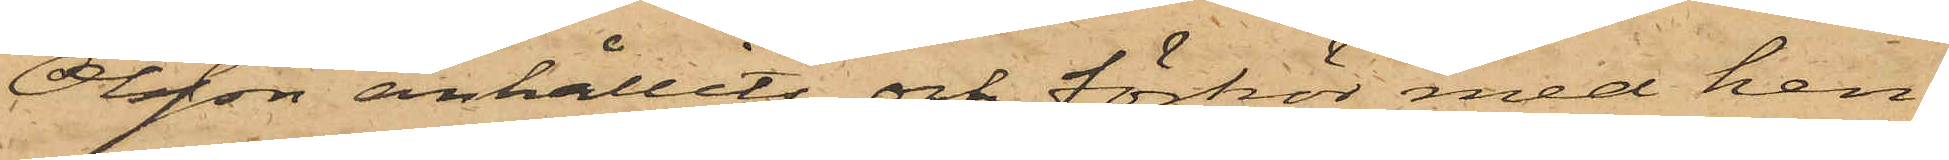Olsson anhållits och förhör med hen¬
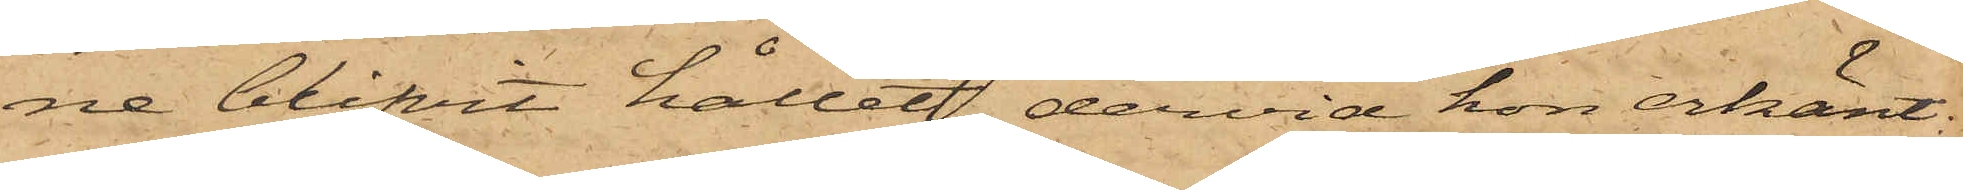ne blifvit hållet, dervid hon erkänt:
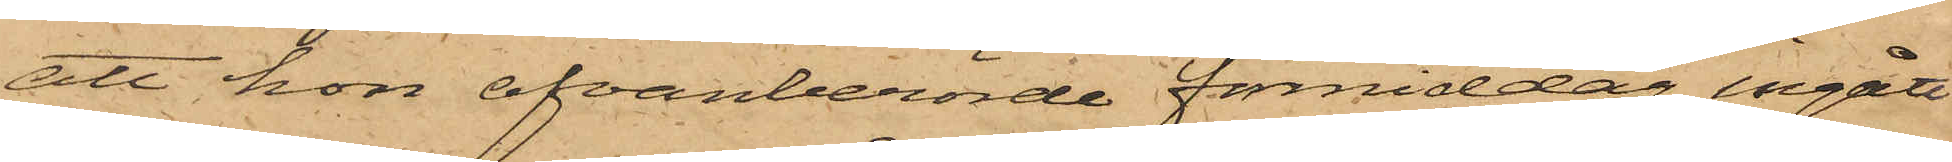att hon ofvanberörde förmiddag ingått
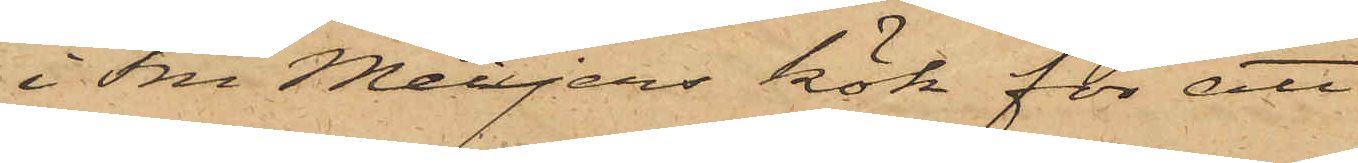i Fru Meiyers kök för att
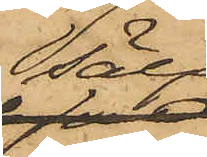sälja
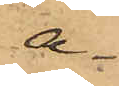a¬
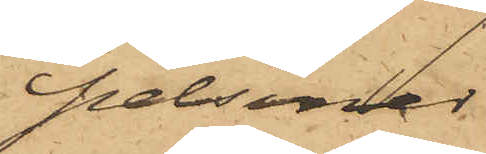pelsiner
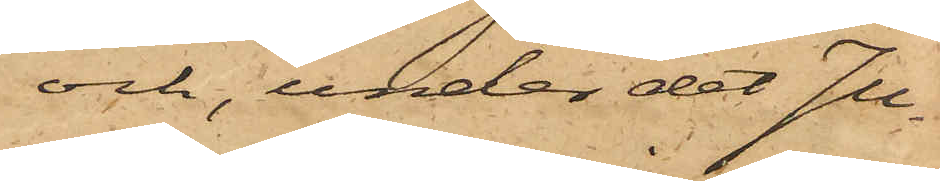och, under det Ju¬
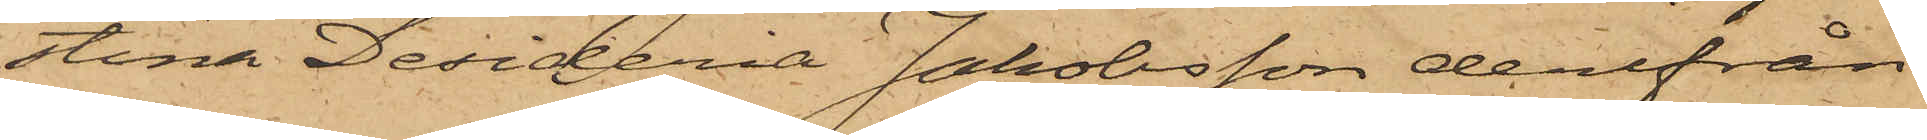stina Desideria Jakobsson derifrån
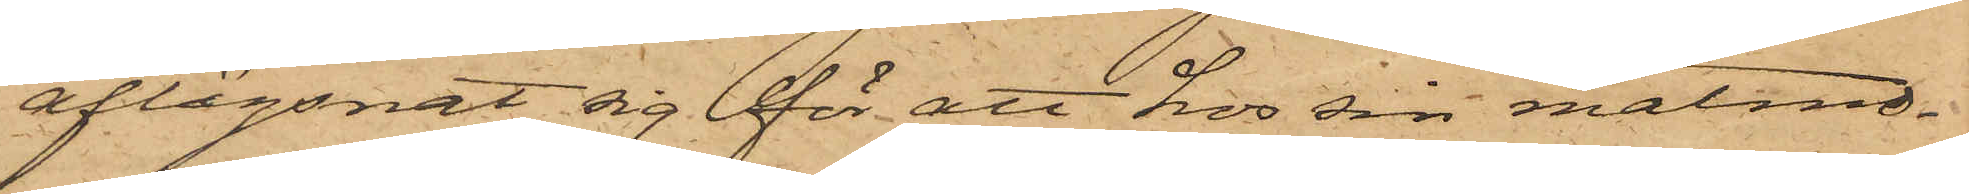aflägsnat sig för att hos sin matmo¬
